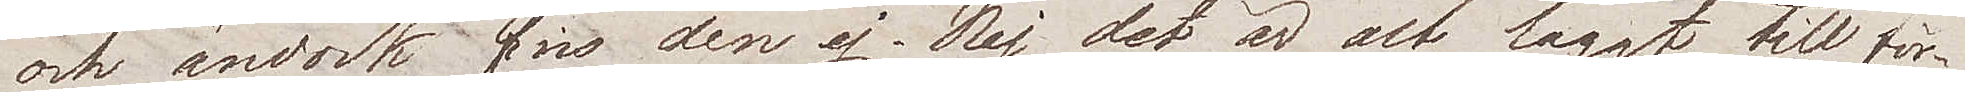och ändock fins den ej. Nej det är alt laggt till för¬
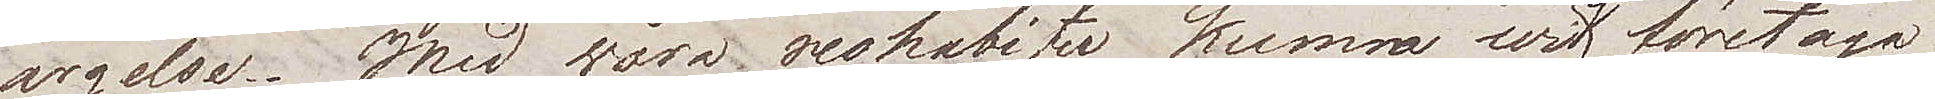argelse. Med wåra reshabiter kunna wi ej företaga
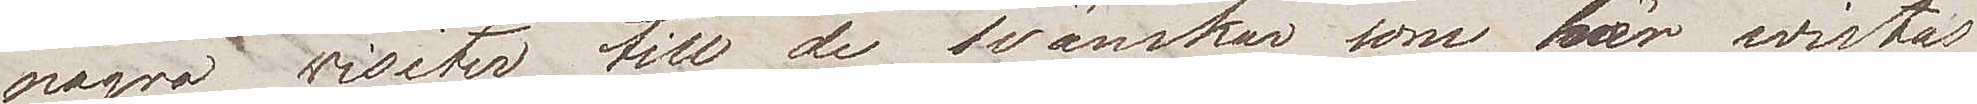några wisiter till de svänskar som här wistas
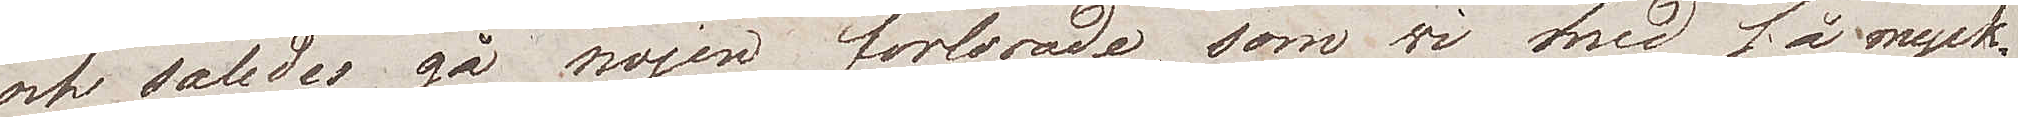och således gå nöjen förlorade, som wi med så myck¬
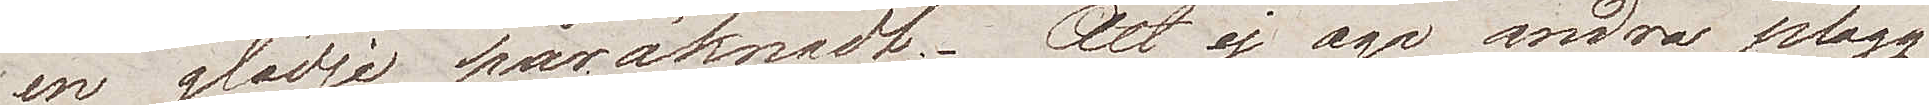en glädje påräknadt. Att ej äga andra plagg
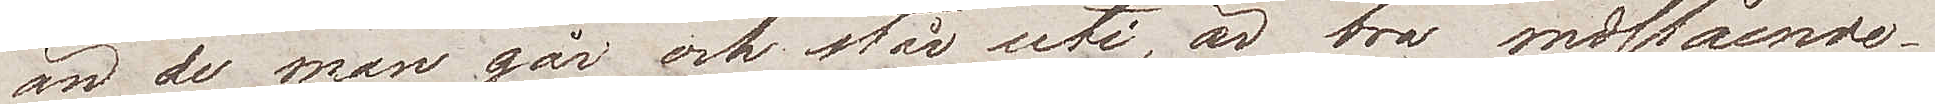än de man går och står uti, är bra nedslående
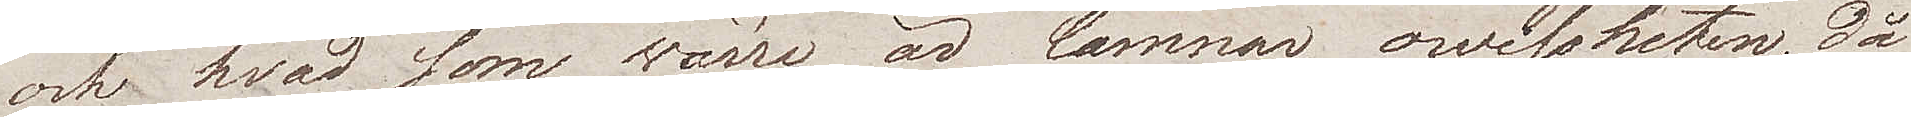och hvad som wärre är lämnar owissheten, då
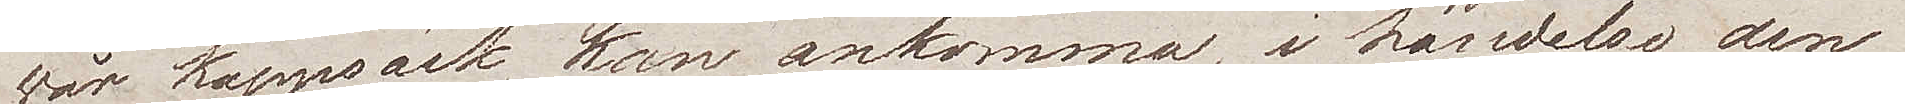wår kappsäck kan ankomma, i händelse den
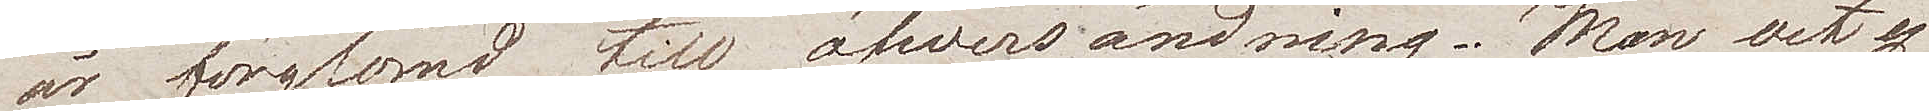är förglömd till öfwersändning. Man vet ej
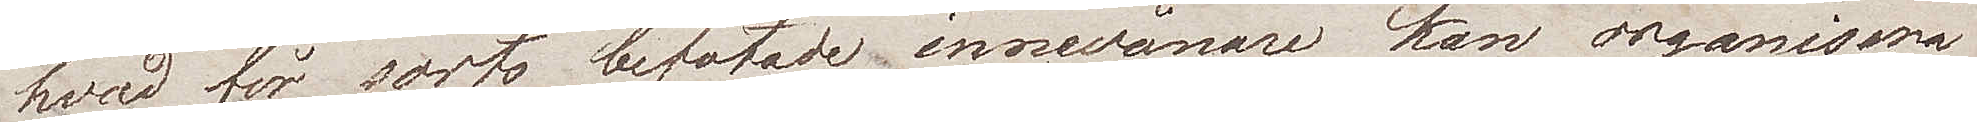hvad för sorts befotade innevånare kan organisera
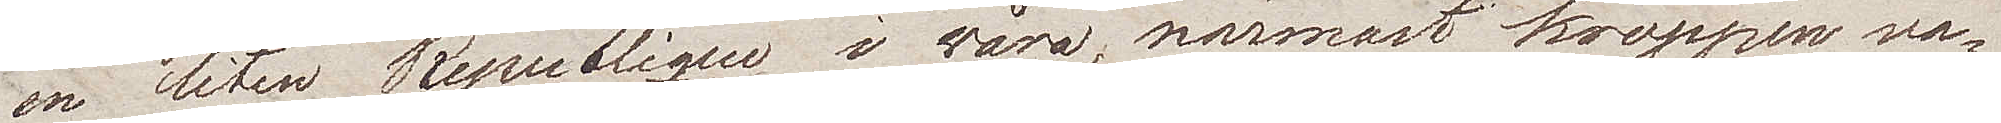en liten Republique i våra närmast kroppen va¬
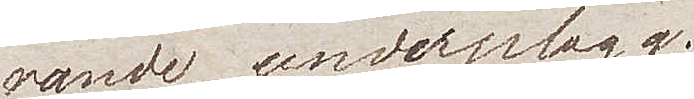rande underplagg.
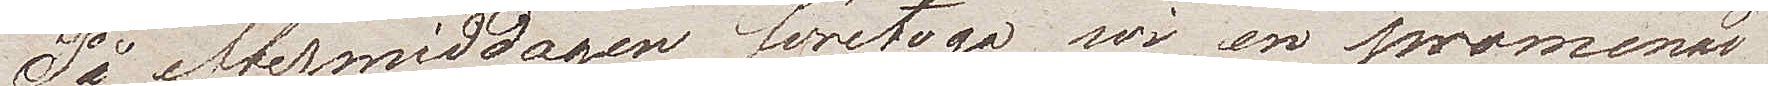På eftermiddagen företogo wi en promenad
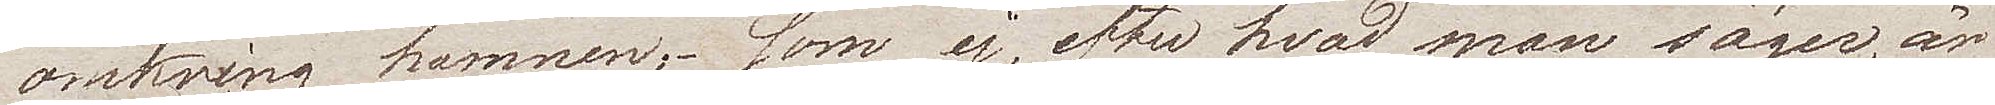omkring hamnen, som ej, efter hvad man säger, är
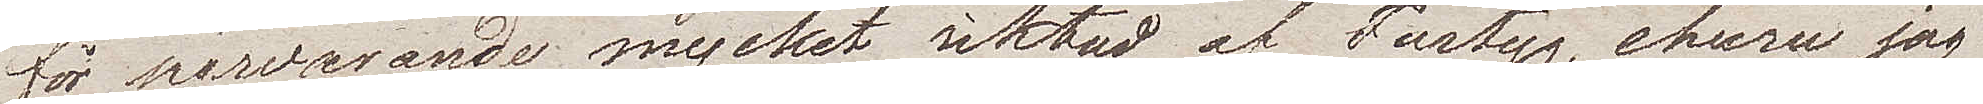för närvarande mycket siktad af Fartyg, ehuru jag
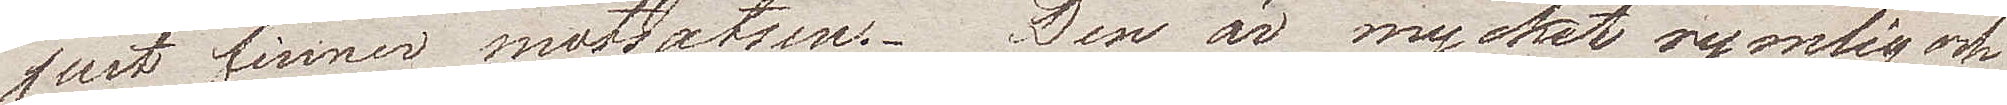just finner motsatsen. Den är mycket rymlig och
